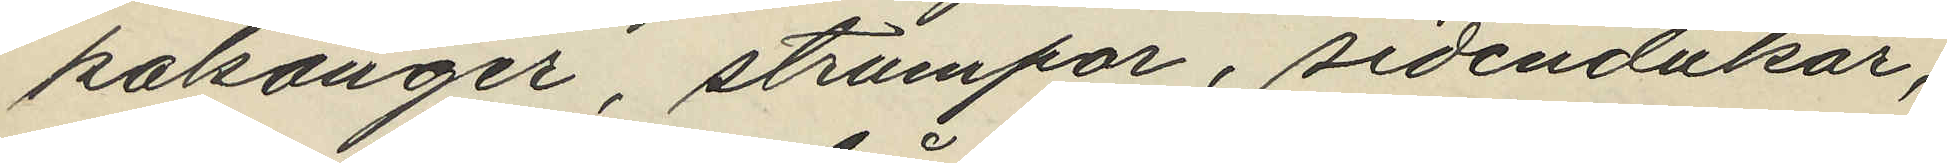kalsonger, strumpor, sidendukar,
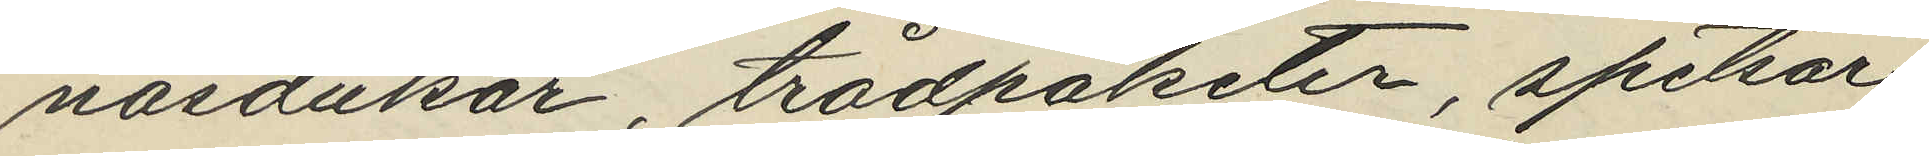näsdukar, trådpaketer, spetsar
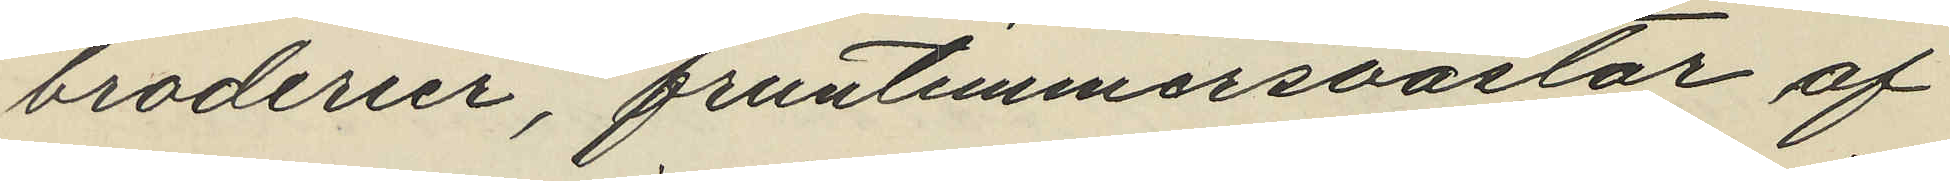broderier, fruntimmersvästar af
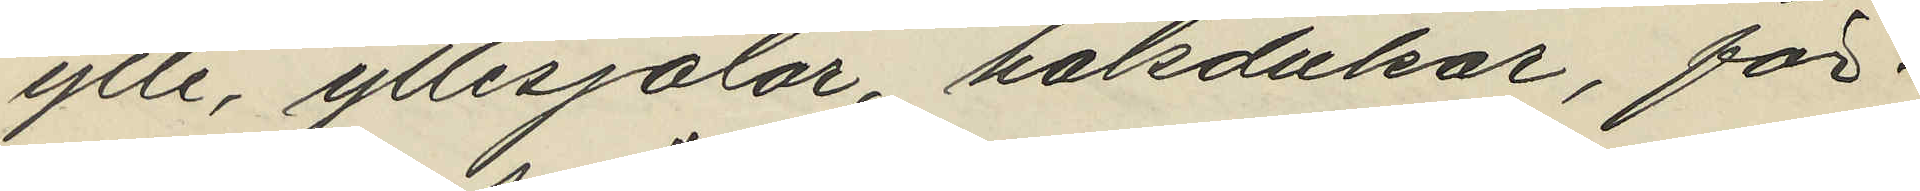ylle, yllesjalar, halsdukar, för¬
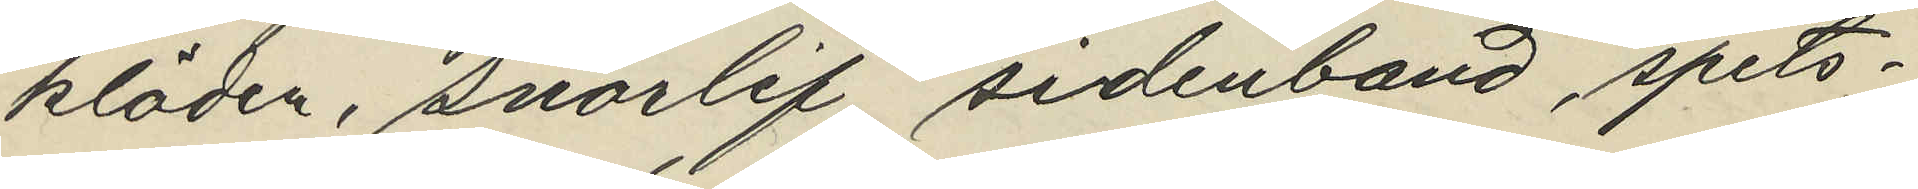kläden, snörlif, sidenband, spets¬
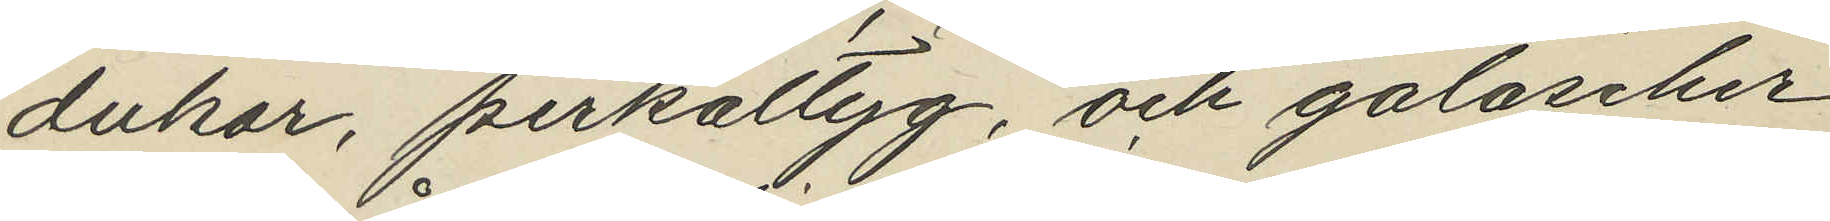dukar, perkaltyg, och galoscher
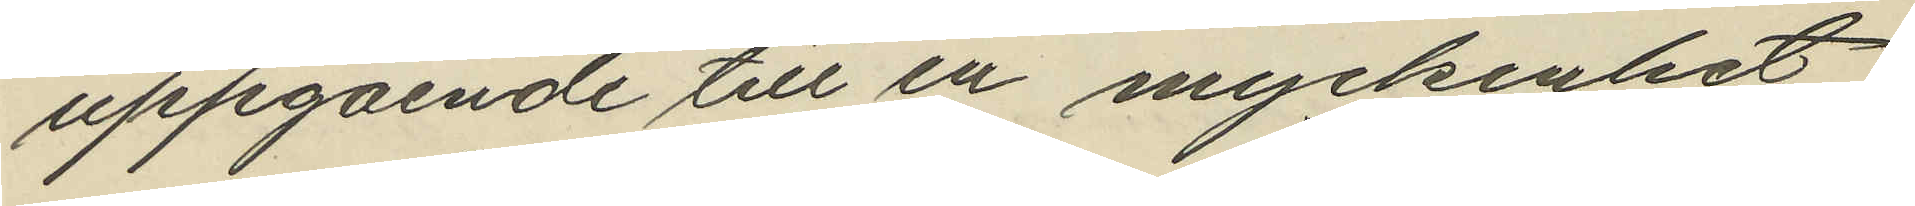uppgående till en myckenhet
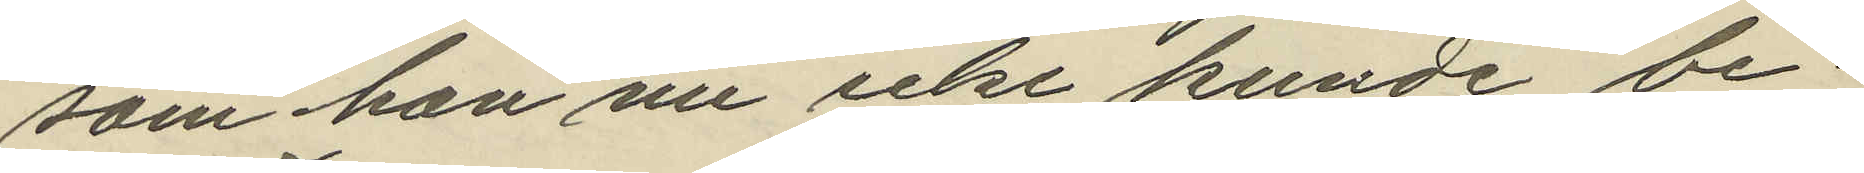som han nu icke kunde be¬
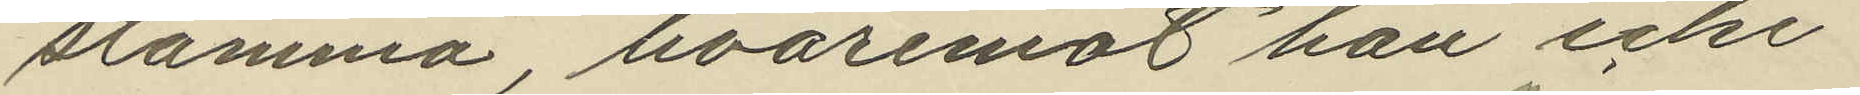stämma, hvaremot han icke
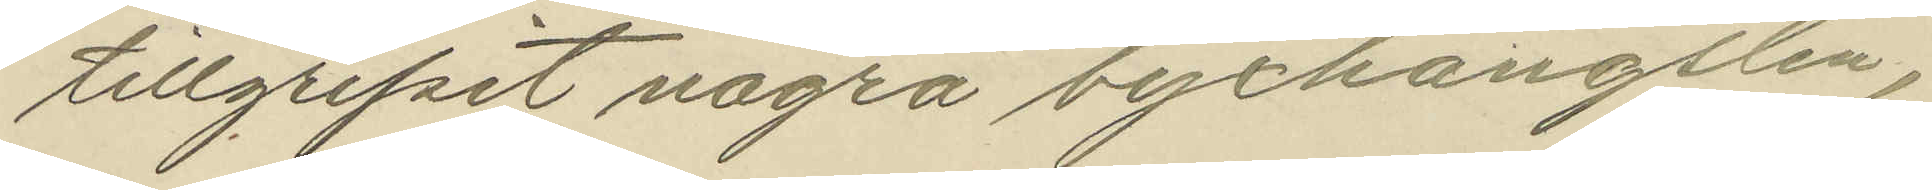tillgripit några byxhängslen,
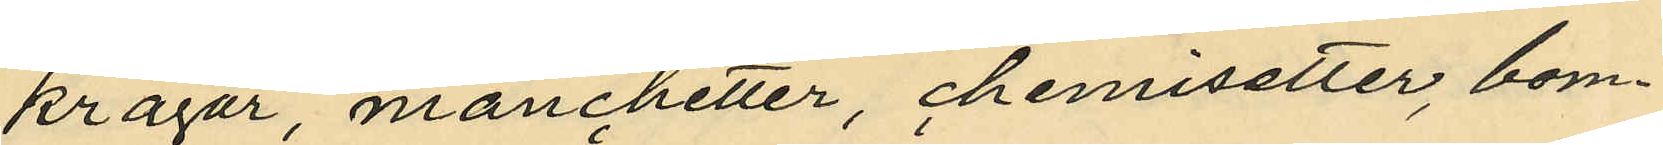kragar, manchetter, chemisetter, bom¬
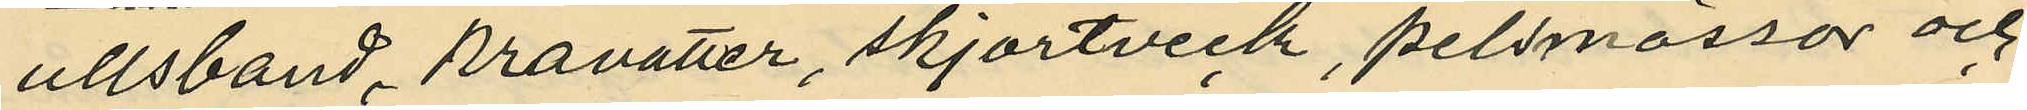ullsband kravatter, skjortveck, pelsmössor och
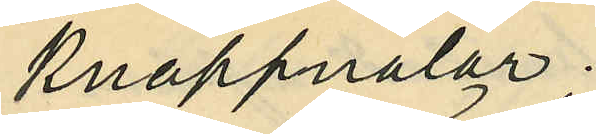knappnålar,
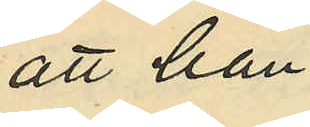att han
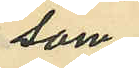som
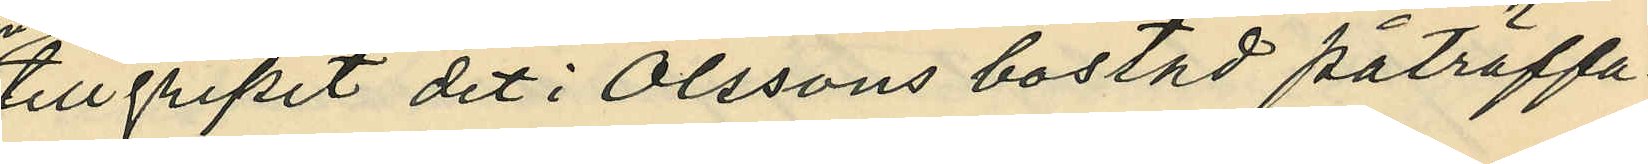tillgripit det i Olssons bostad påträffa¬
